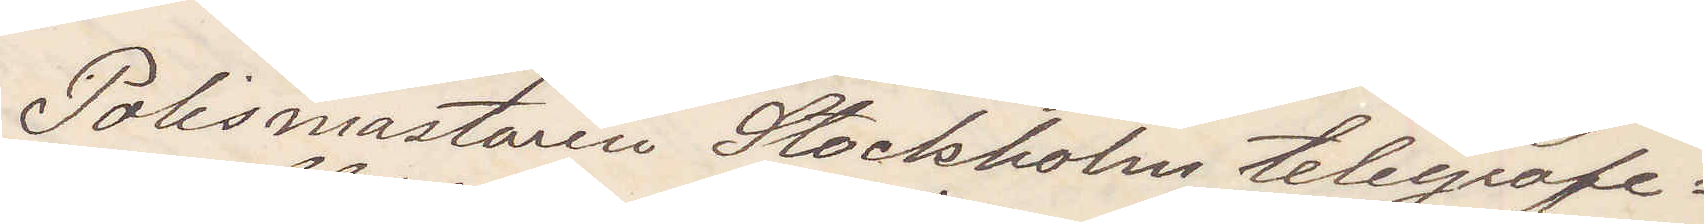Polismästaren Stockholm telegrafe¬
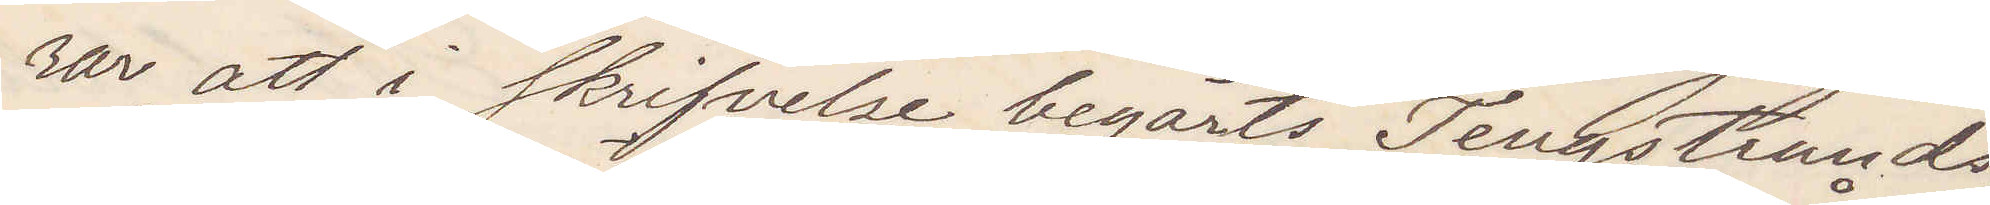rar att i skrifvelse begärts Tengstrands
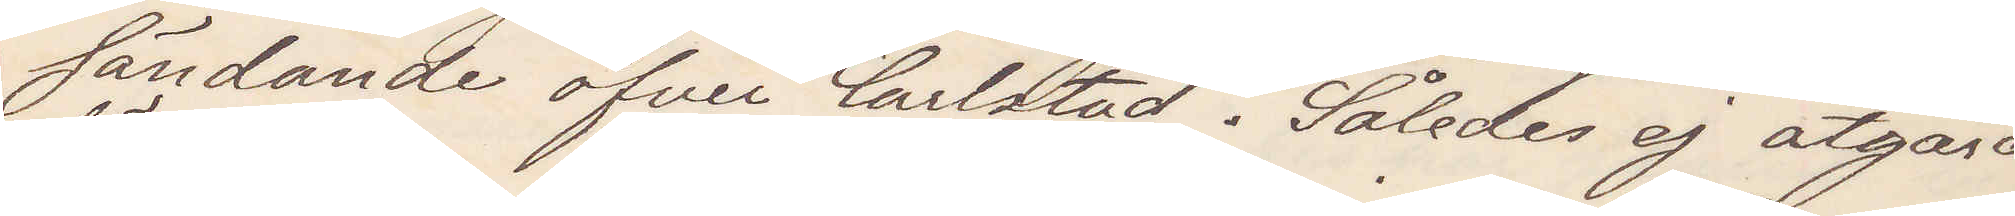sändande öfver Carlstad. Således ej åtgärd
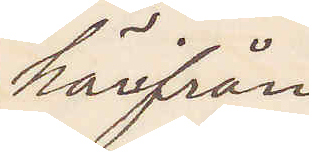härifrån
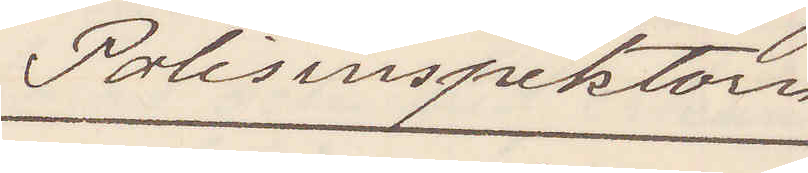Polisinspektorn
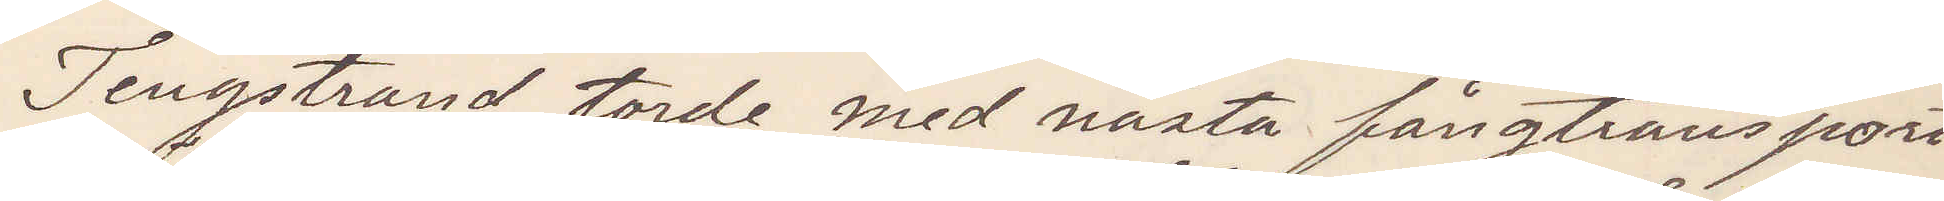Tengstrand torde med nästa fångtransport
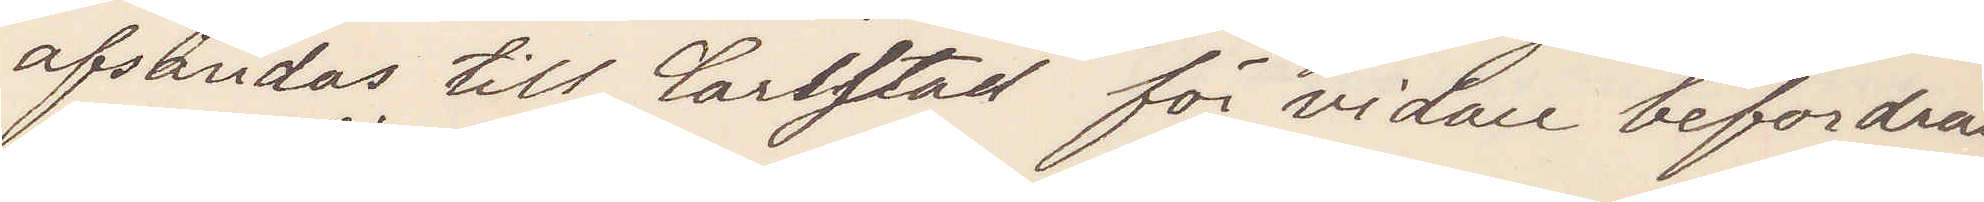afsändas till Carlstad för vidare befordran
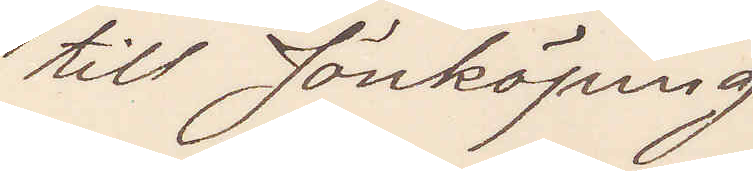till Jönköping
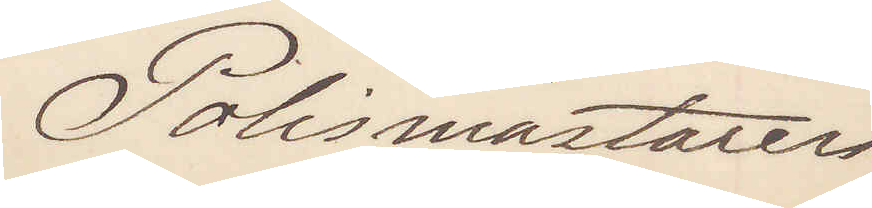Polismästaren
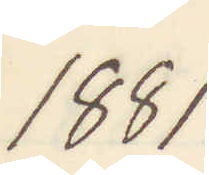1881
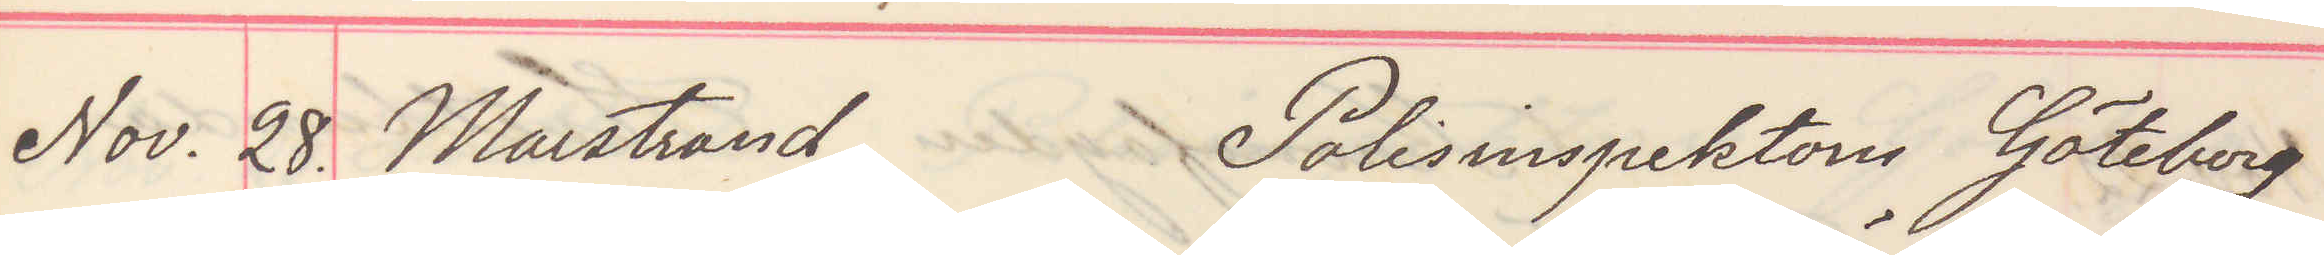Nov. 28. Marstrand Polisinspektorn Göteborg
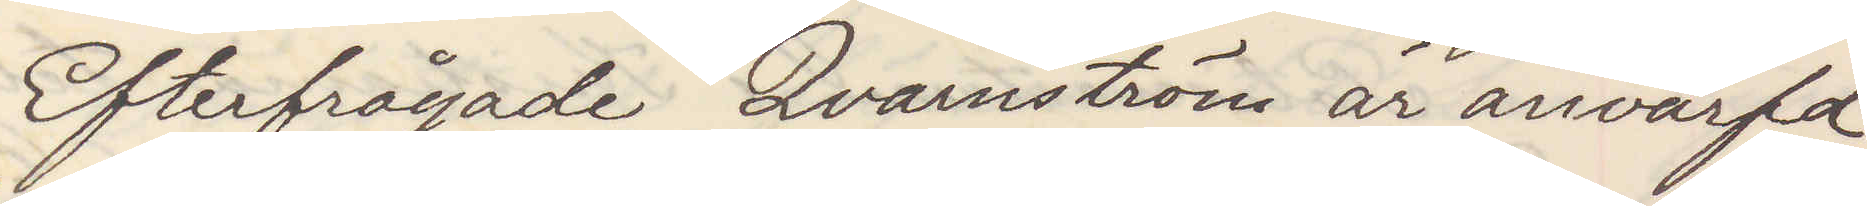Efterfrågae Qvarnström är anvärfd
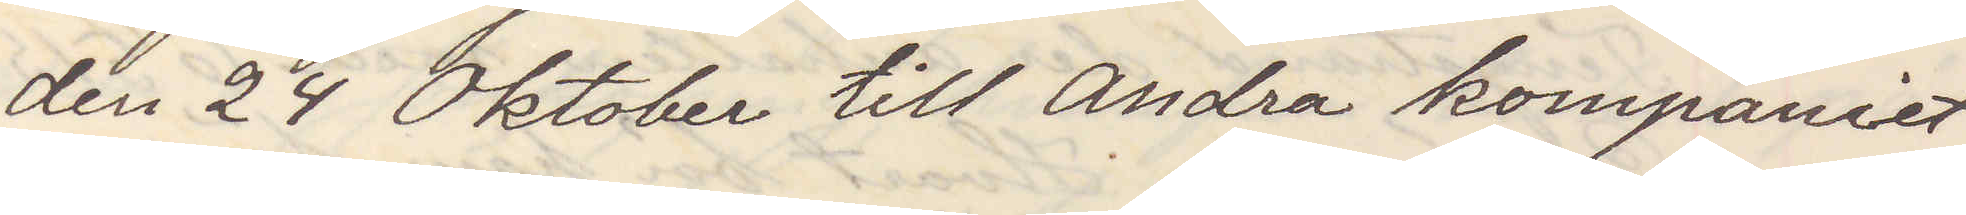den 24 Oktober till Andra kompaniet
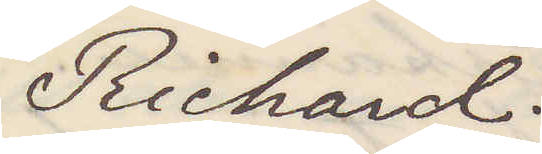Richard
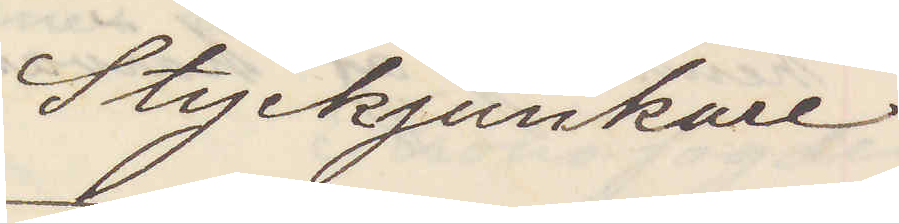Styckjunkare
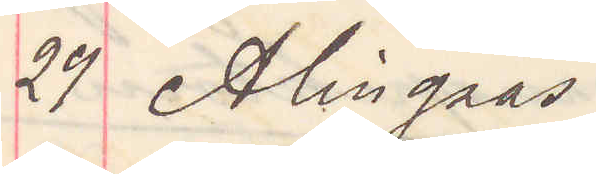29 Alingsås
